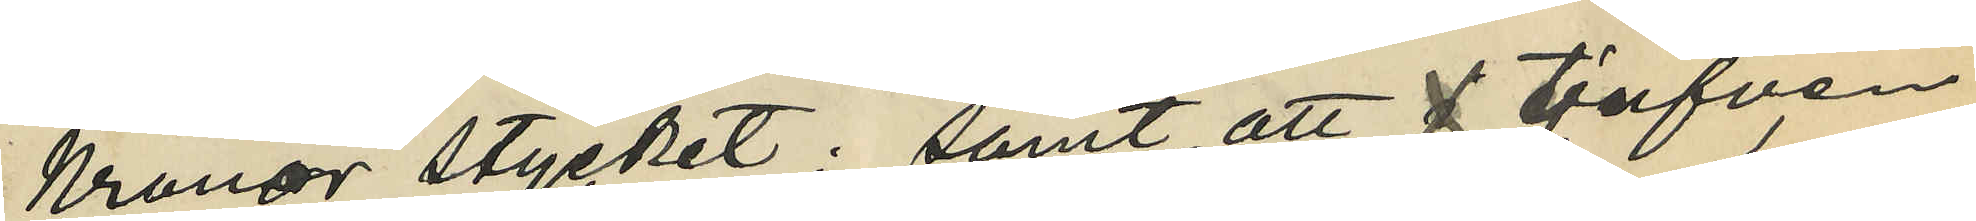Kronor stycket; samt att f tjufven
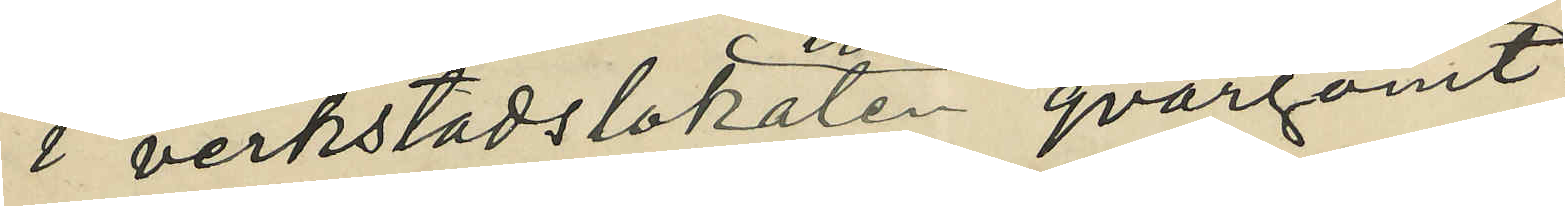i verkstadslokaten qvargömt
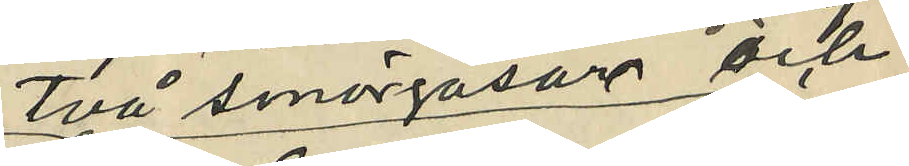två smörgåsar och
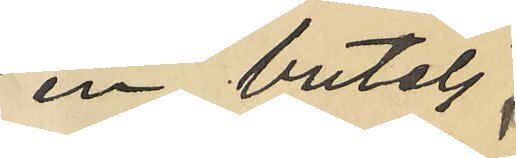en butelj;
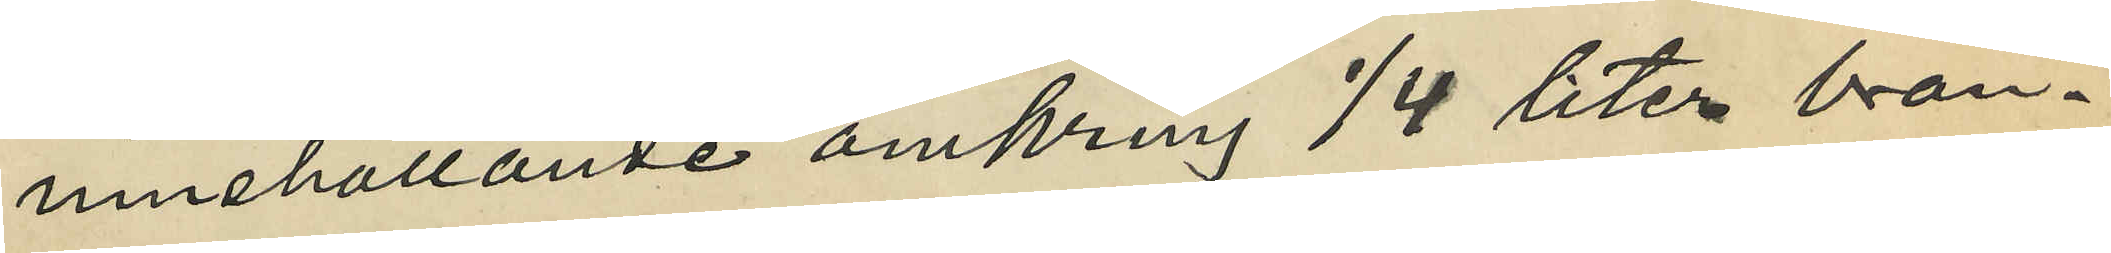innehållande omkring 1/4 liter brän¬
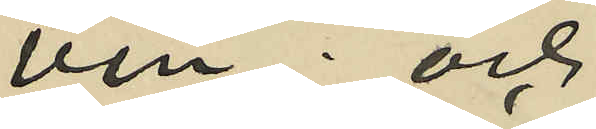vin; och
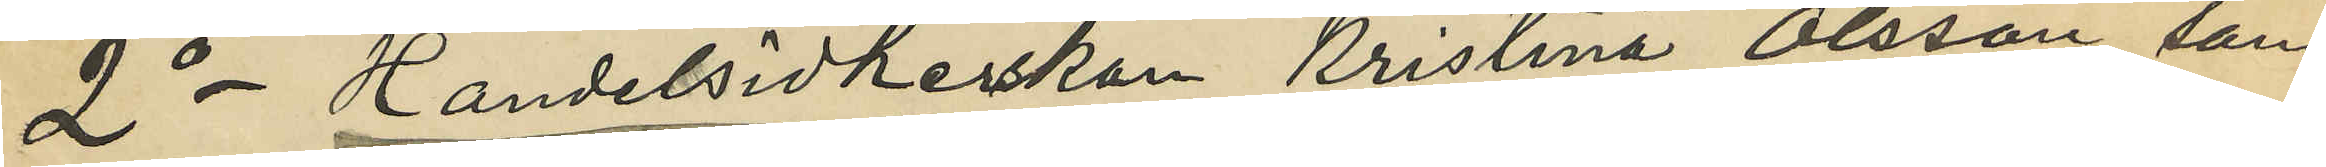2o Handelsidkerskan Kristina Olsson, som
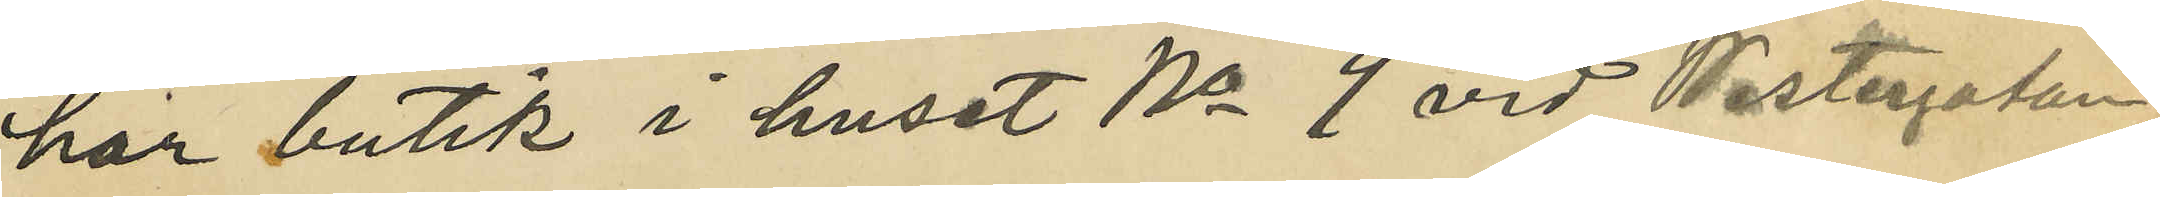har butik i huset No 9 vid Westergatan,
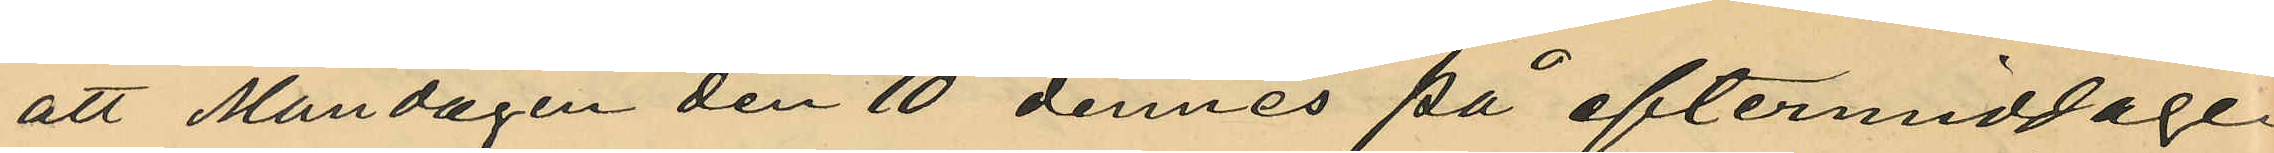att Måndagen den 10 dennes på eftermiddagen
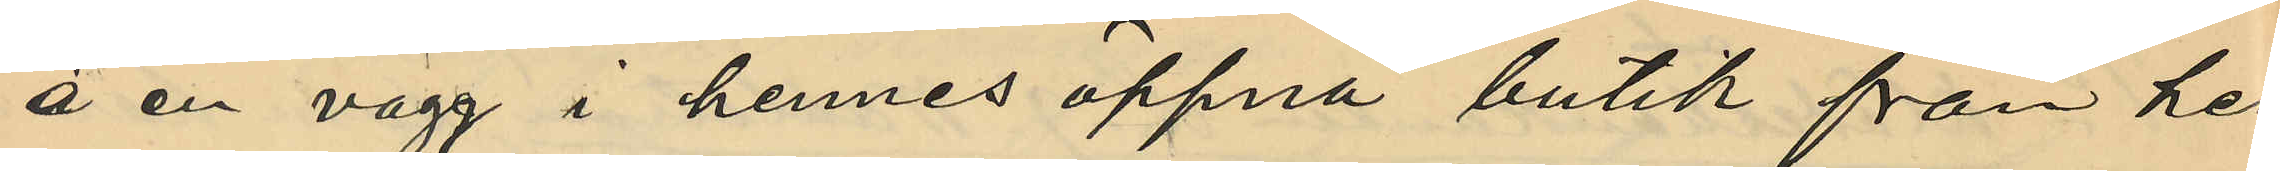å en vägg i hennes öppna butik från hen¬
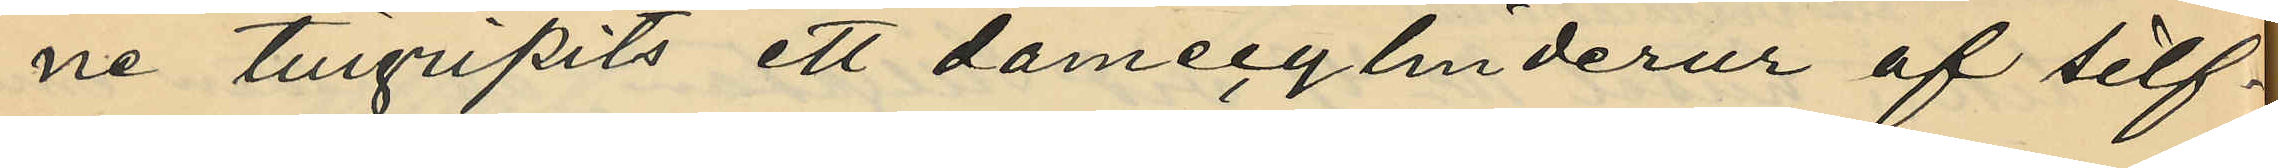ne tillgripits ett damecylinderur af silf¬
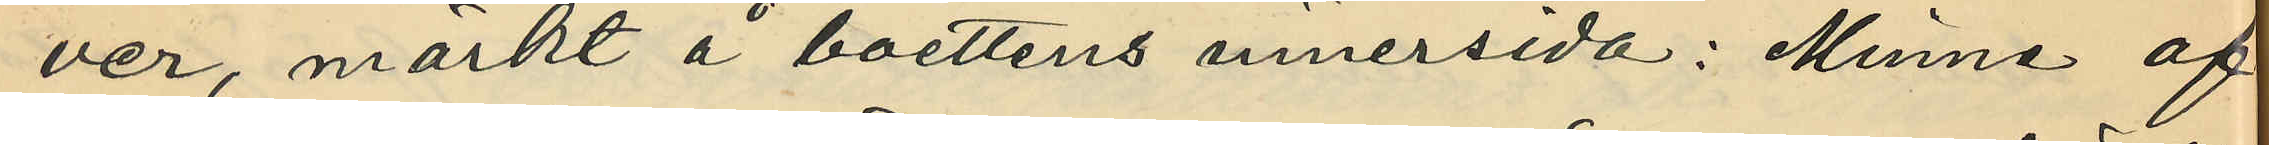ver, märkt å boettens innersida: "i Minne af
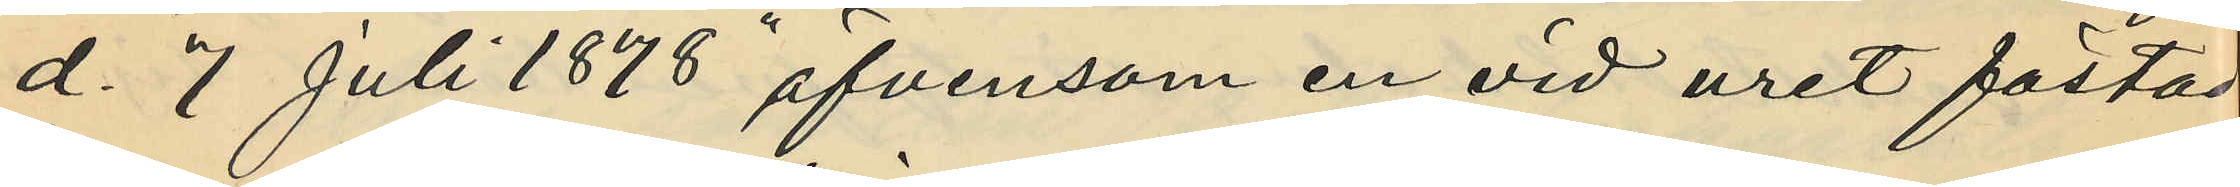d. 7 Juli 1878" äfvensom en vid uret fästad
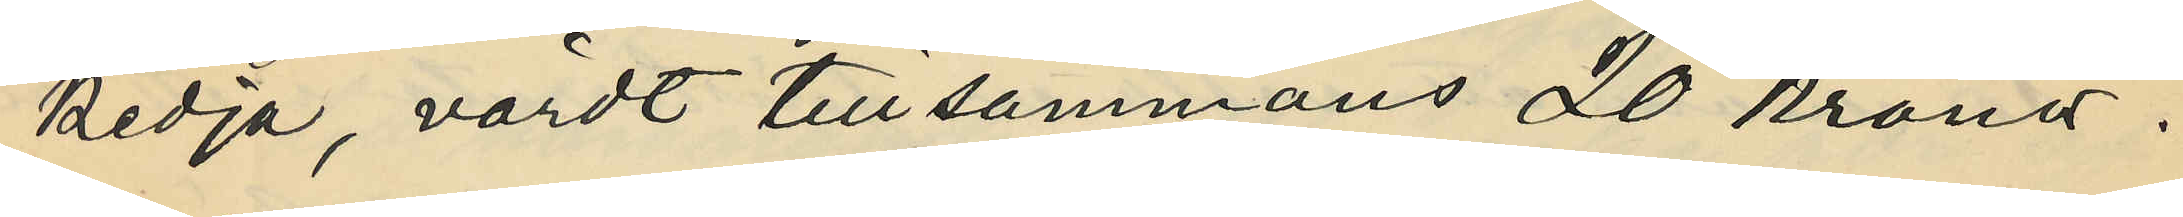kedja, värdt tillsammans 20 kronor.
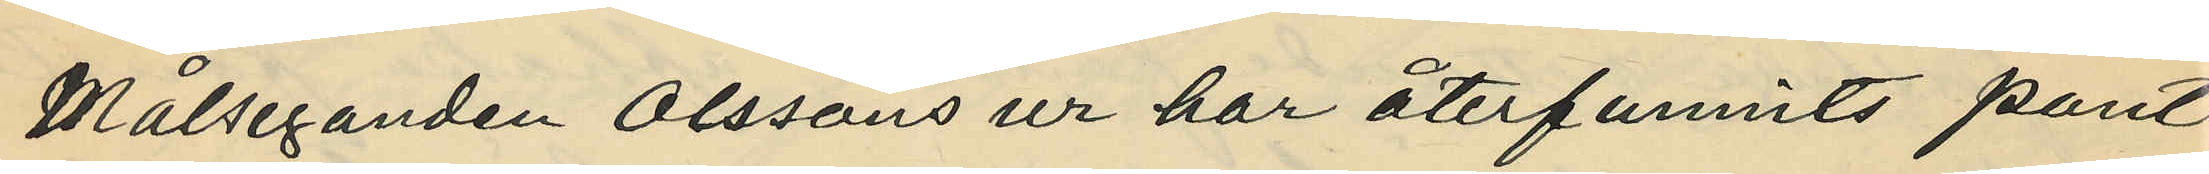Målseganden Olssons ur har återfunnits pant¬
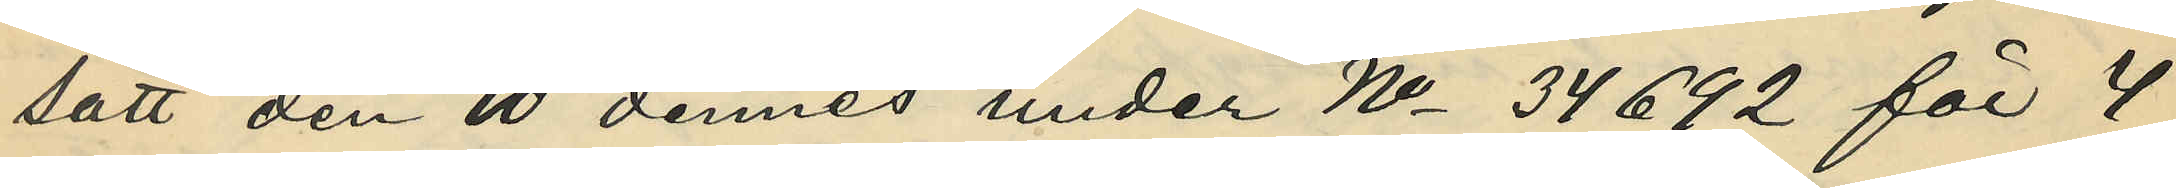satt den 10 dennes under No 34692 för 4
